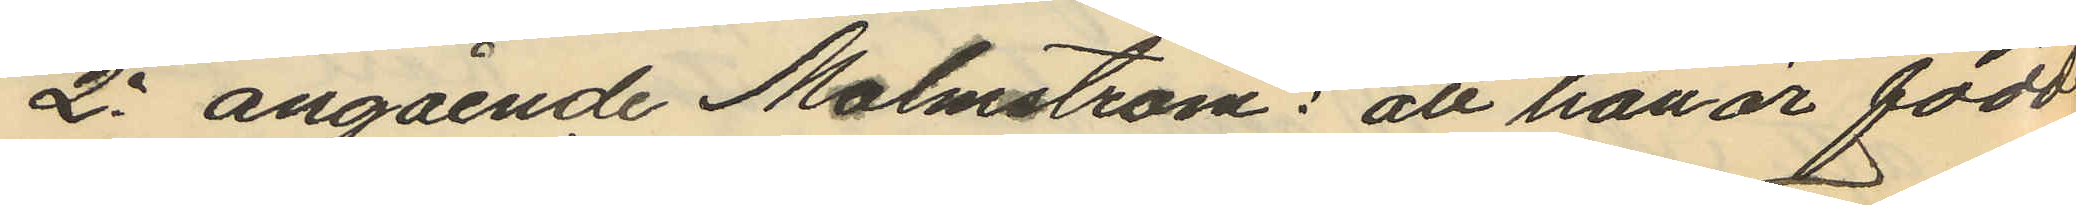2o angående Malmström: att han är född
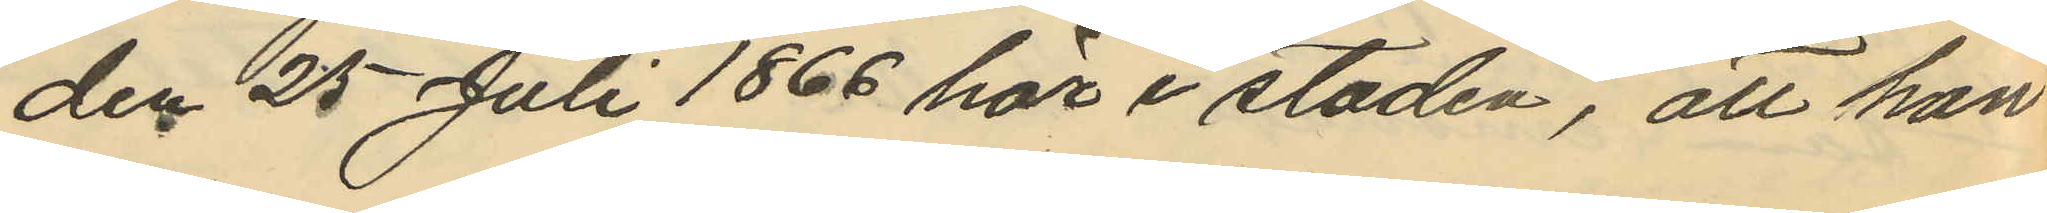den 25 Juli 1866 här i staden, att han
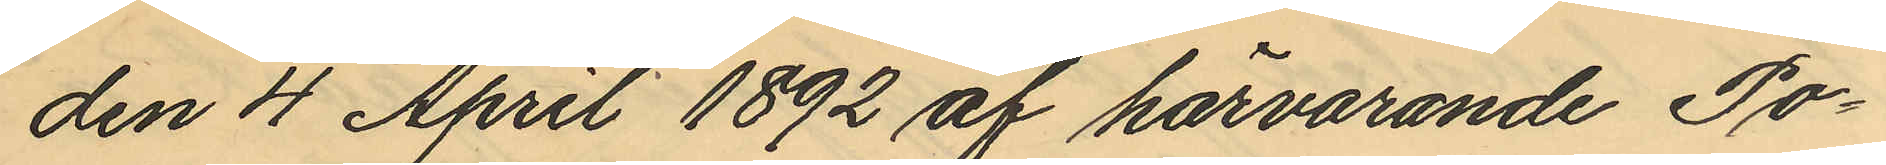den 4 April 1892 af härvarande Po¬
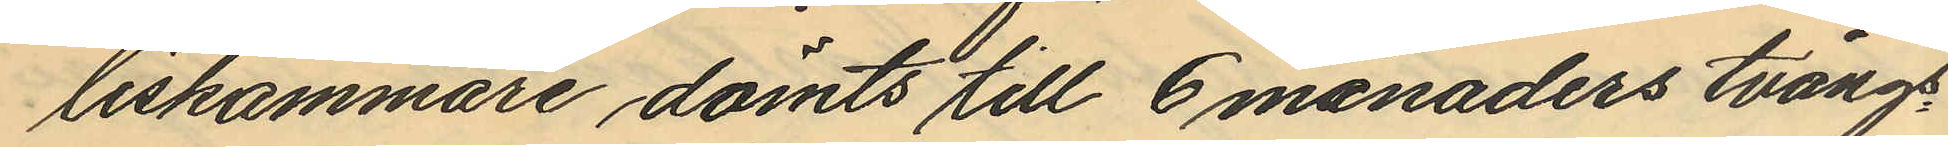liskammare dömts till 6 månaders tvångs¬
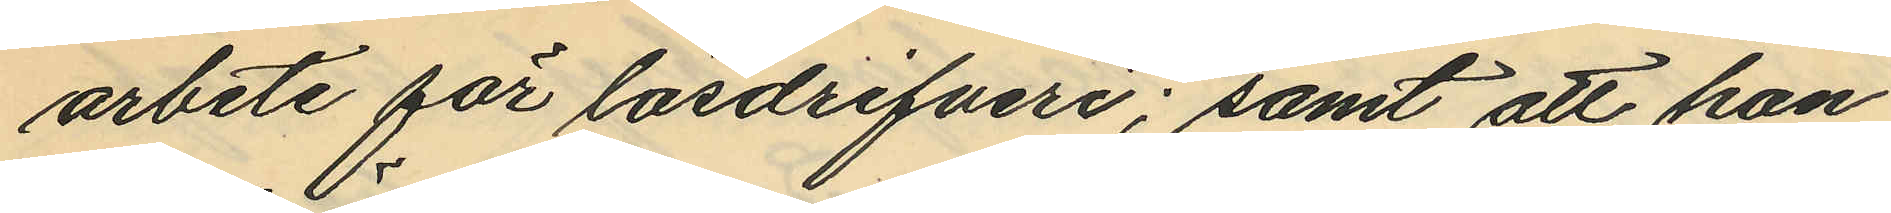arbete för lösdrifveri; samt att han
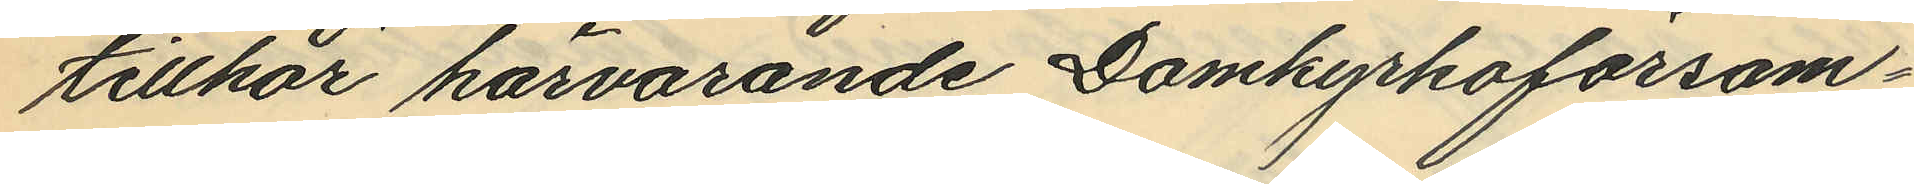tillhör härvarande Domkyrkoförsam¬
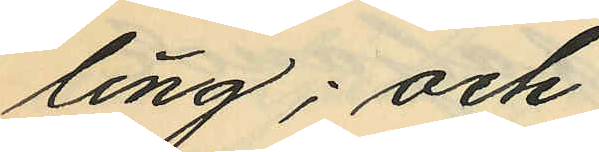ling; och
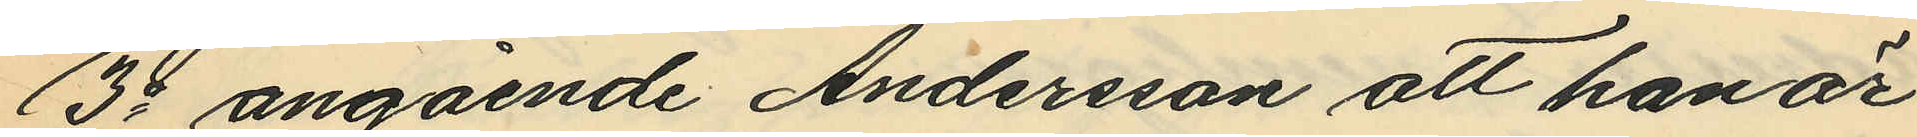3o angående Andersson att han är
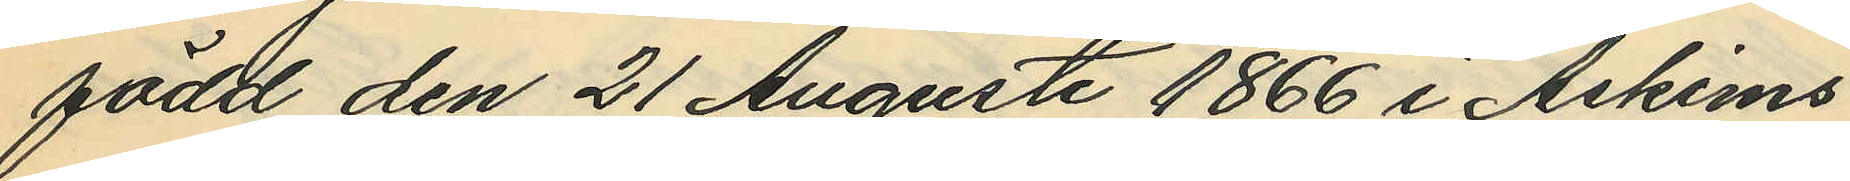född den 21 Augusti 1866 i Askims
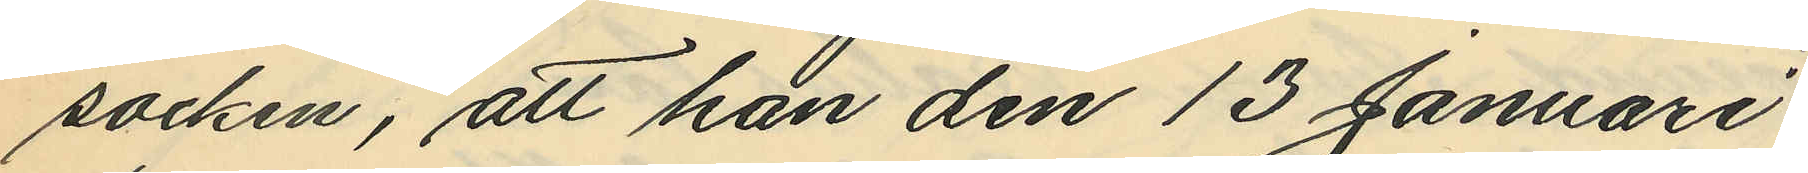socken, att han den 13 Januari
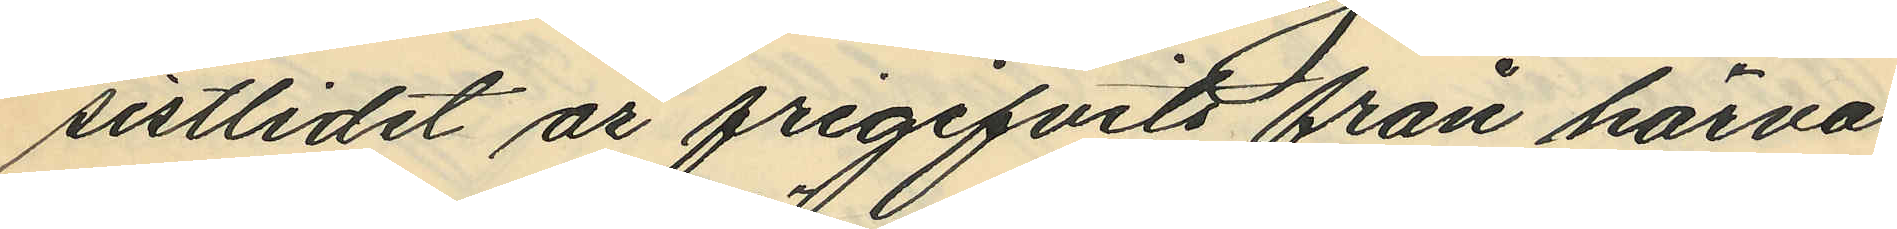sistlidet år frigifvits från härva¬
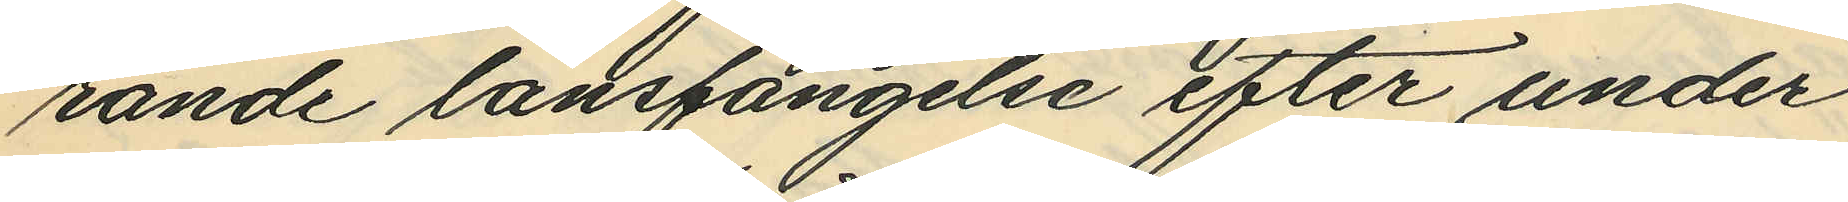rande länsfängelse efter under
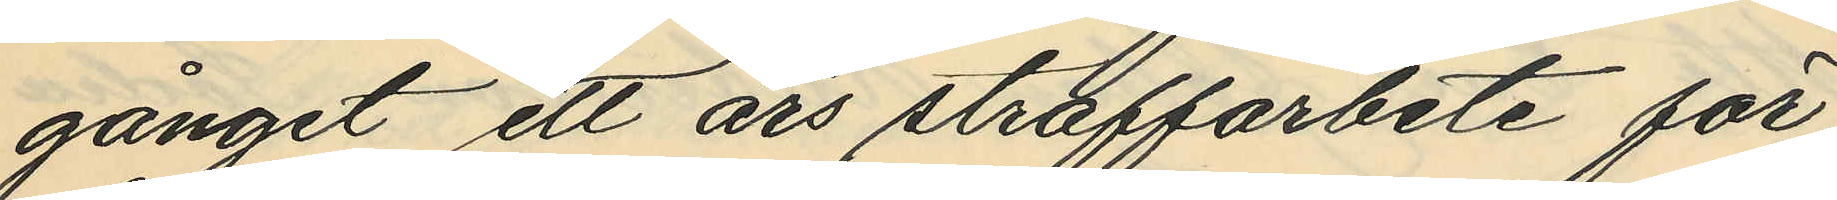gånget ett års straffarbete för
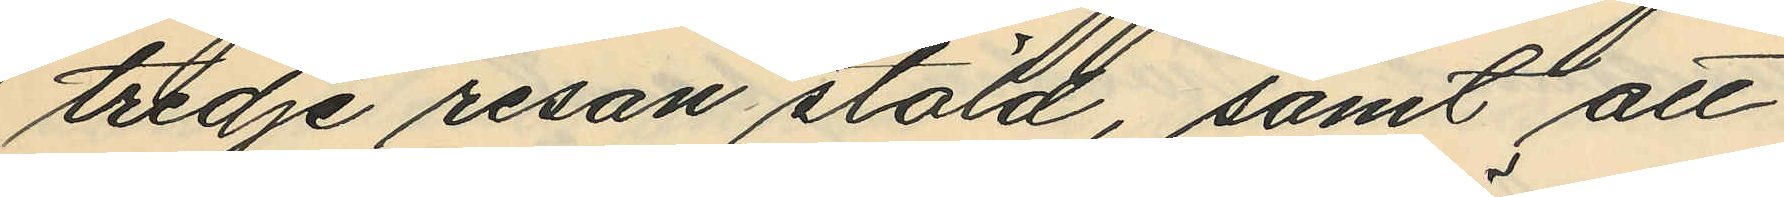tredje resan stöld, samt att
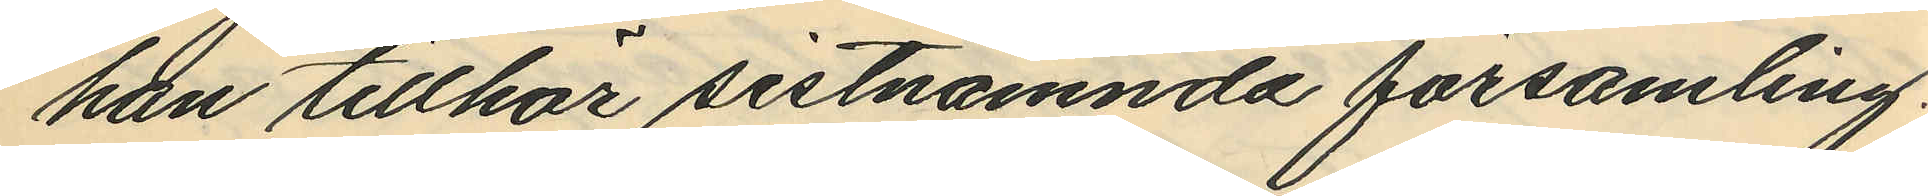han tillhör sistnämnda församling.
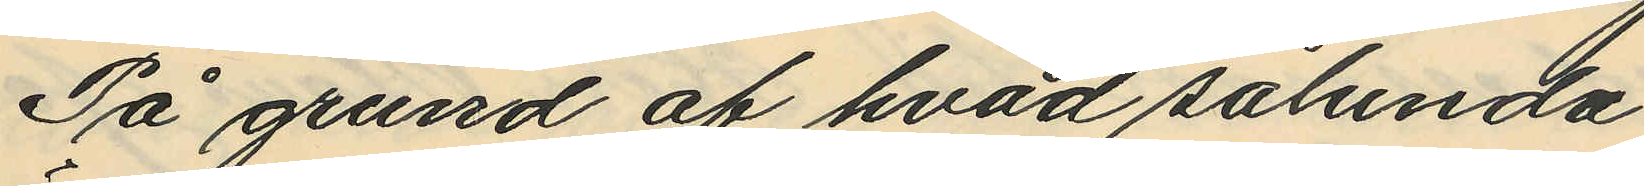På grund af hvad sålunda
